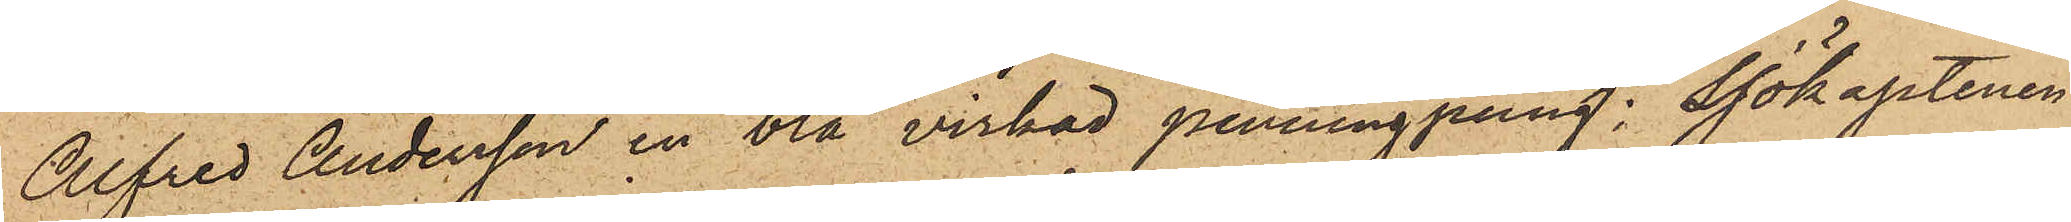Alfred Andersson en blå virkad penningpung; Sjökaptenen
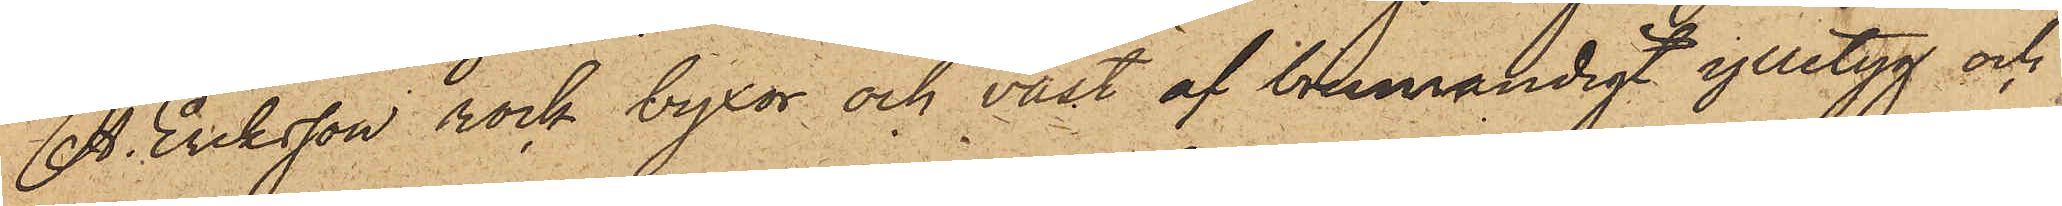A. Eriksson rock byxor och väst af brunrandigt ylletyg och
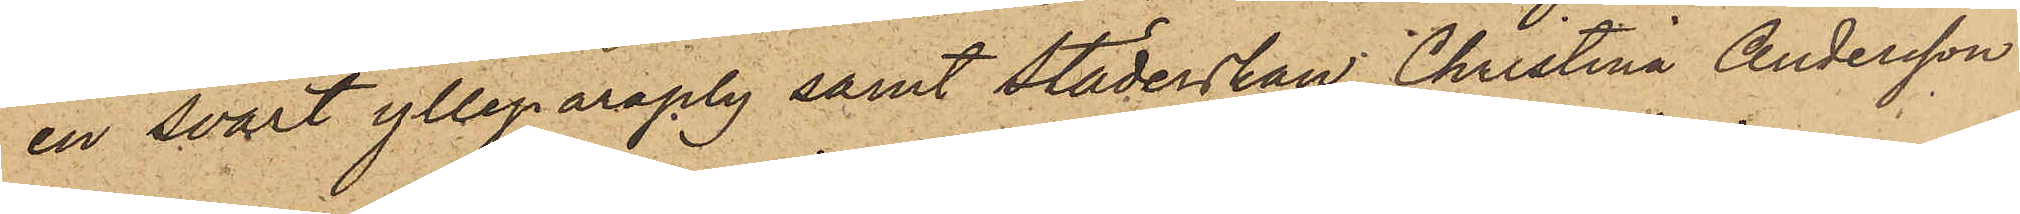en svart ylleparaply samt städerskan Christina Andersson
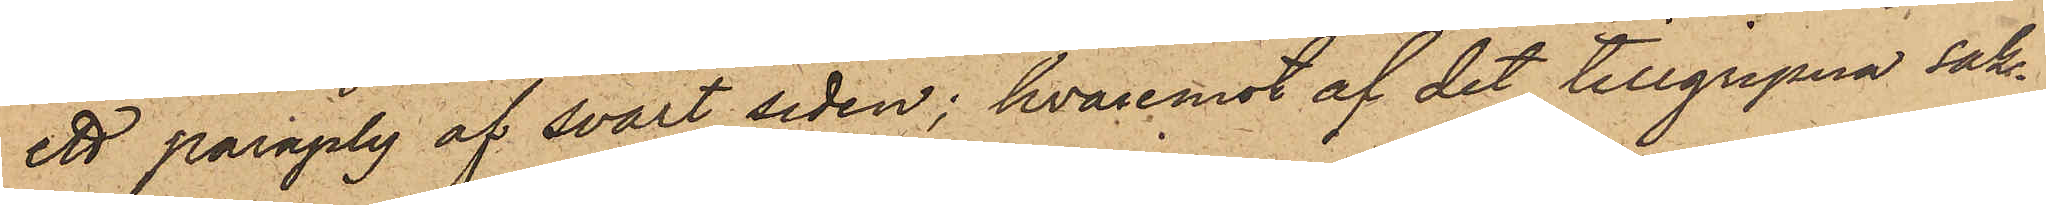ett paraply af svart siden; hvaremot af det tillgripna sak¬
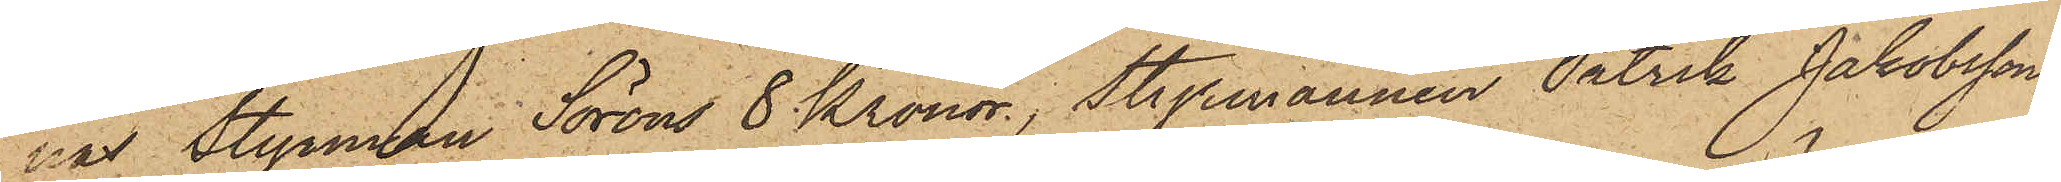nas Styrman Soröns 8 Kronor, Styrmannen Patrik Jakobssons
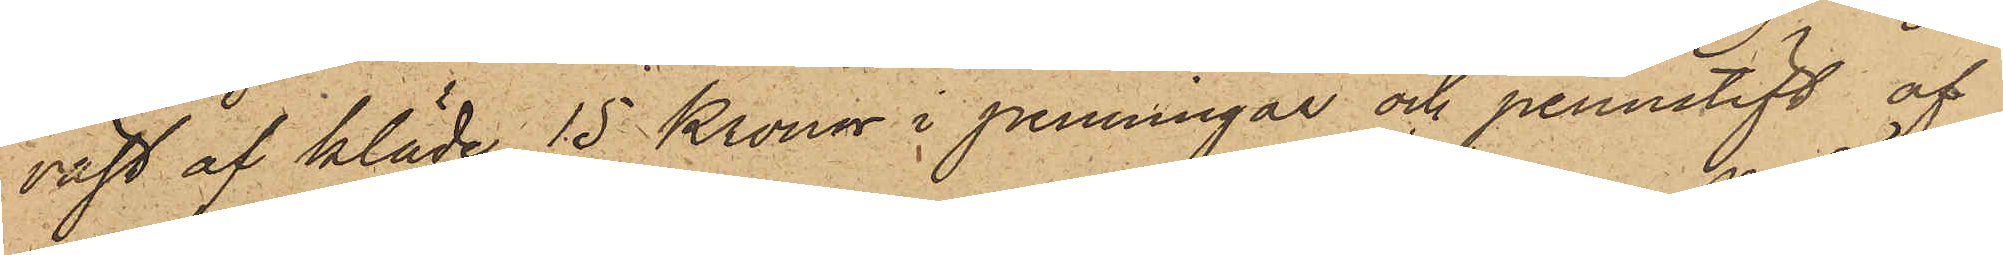väst af kläde, 15 Kronor i penningar och pennstift af
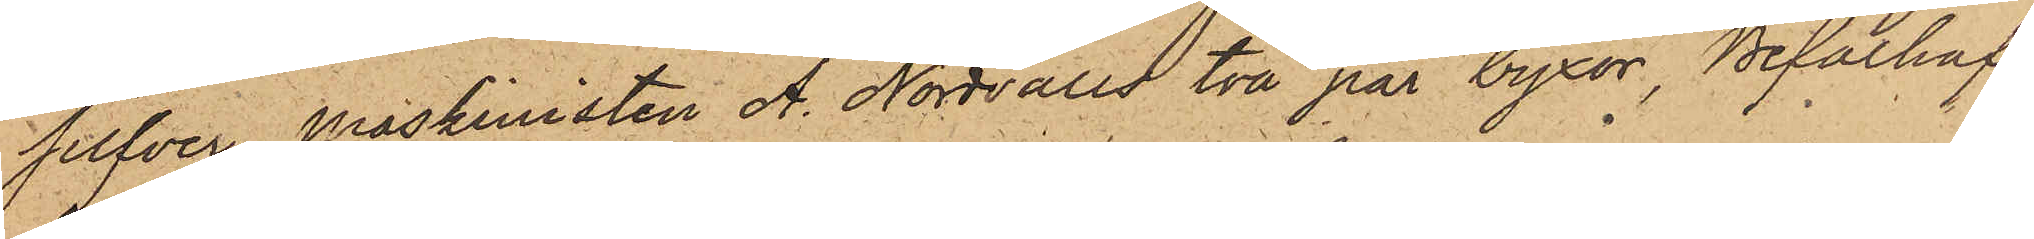silfver, Maskinisten A. Nordvalls två par byxor, Befälhaf¬
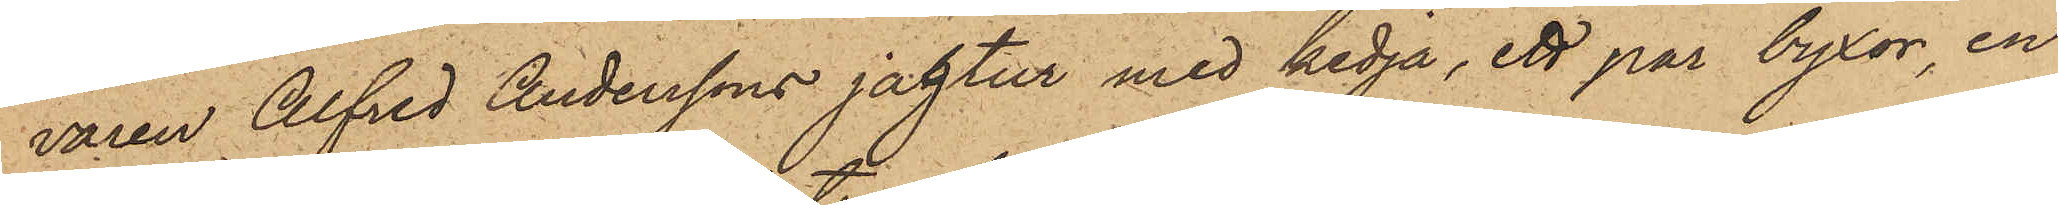varen Alfred Anderssons jagtur med kedja, ett par byxor, en
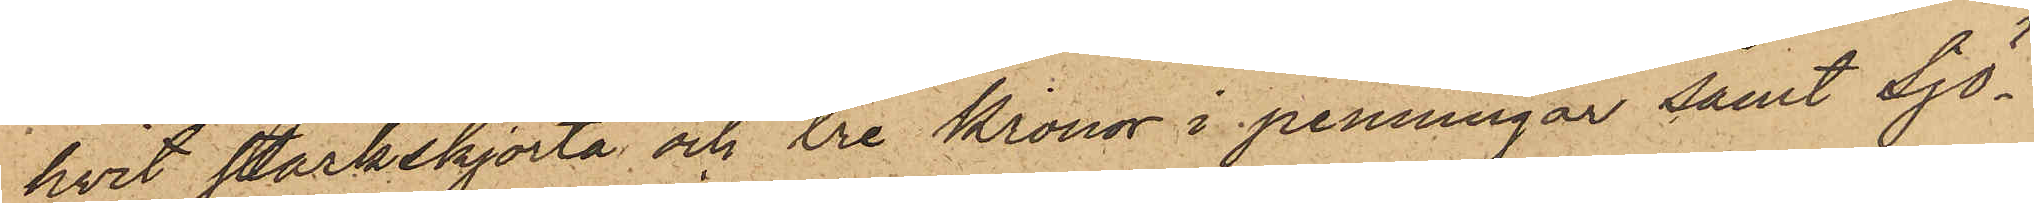hvit stärkskjorta och tre Kronor i penningar samt Sjö¬
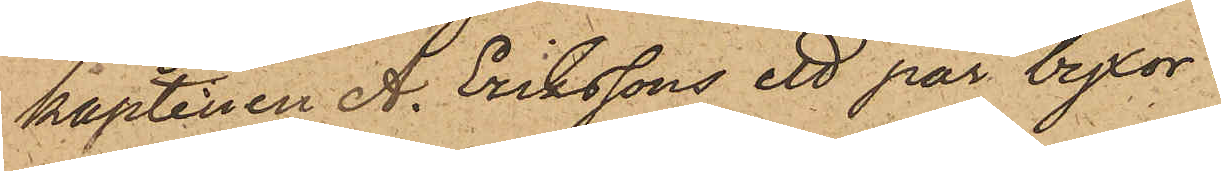kaptenen A. Erikssons ett par byxor.
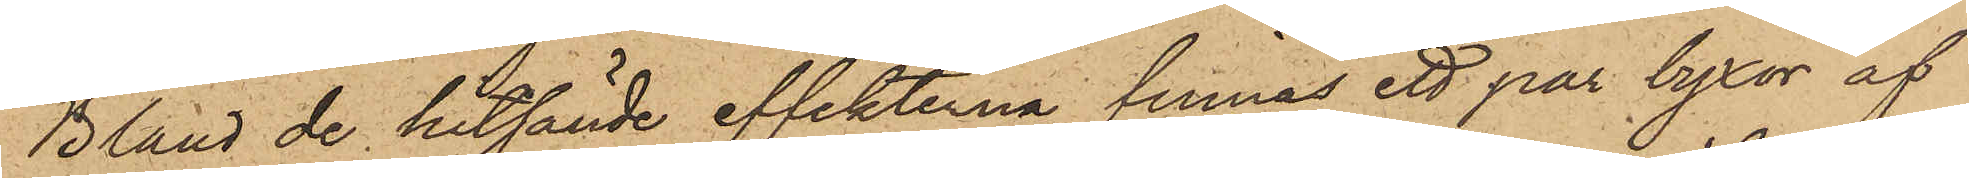Bland de hitsände effekterna finnas ett par byxor af
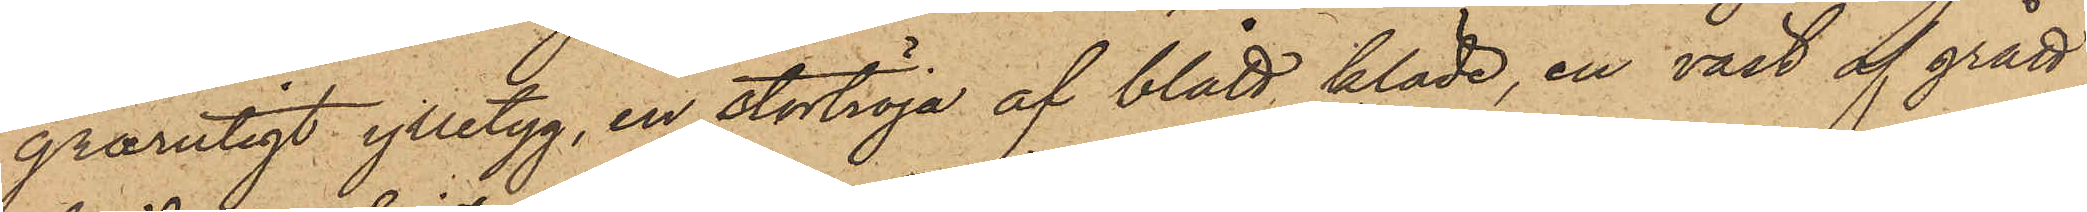grårutigt ylletyg, en stortröja af blått kläde, en väst af grått
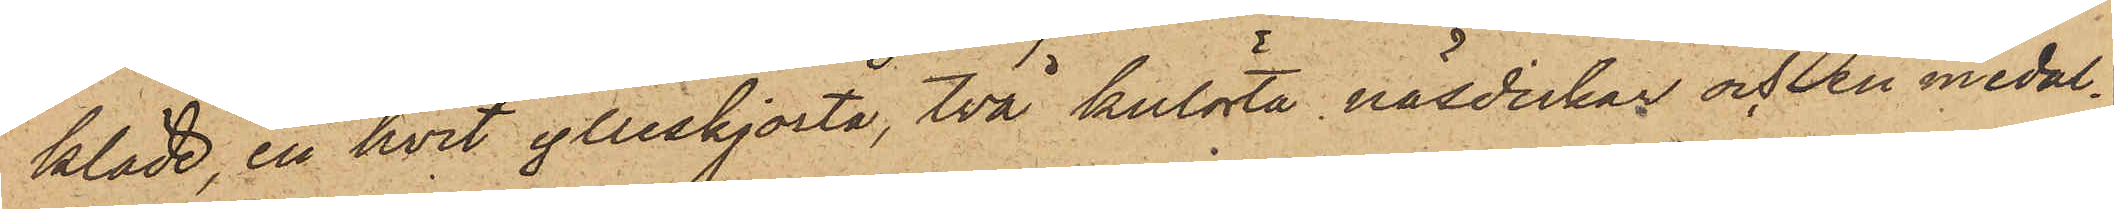kläde, en hvit ylleskjorta, två kulörta näsdukar och en medal¬
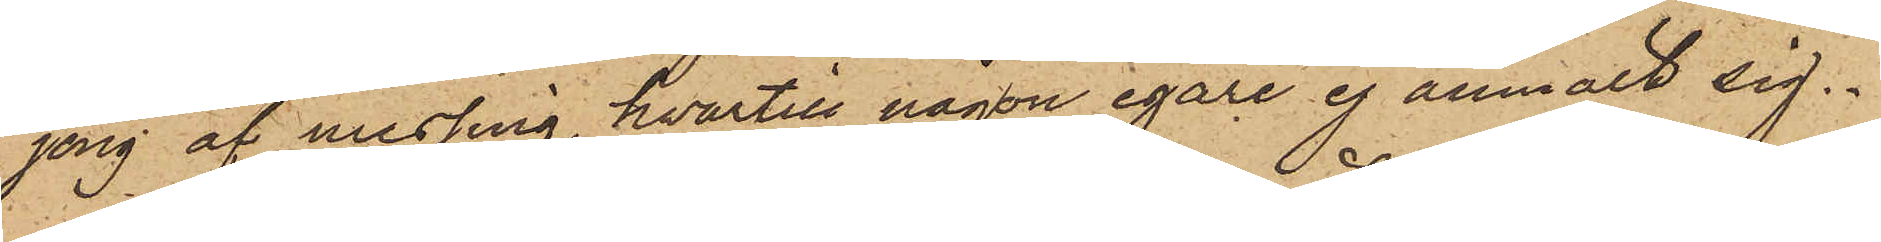jong af messing, hvartill någon egare ej anmält sig.
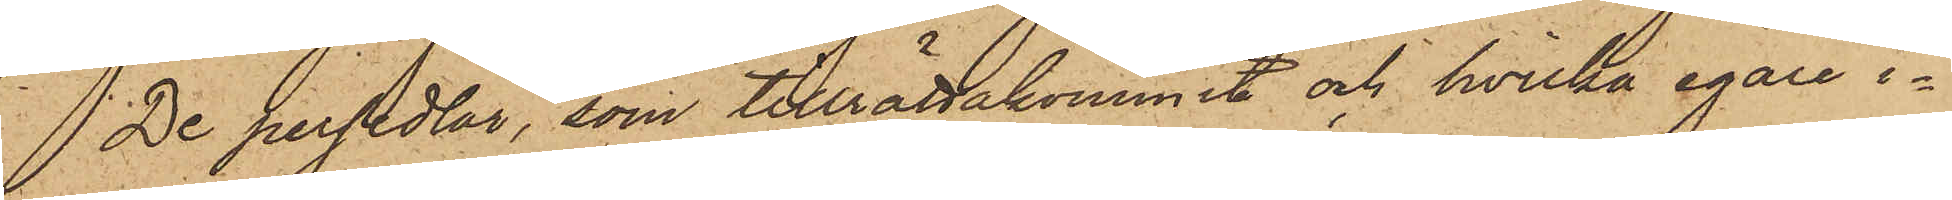De persedlar, som tillrättakommit och hvilka egare i¬
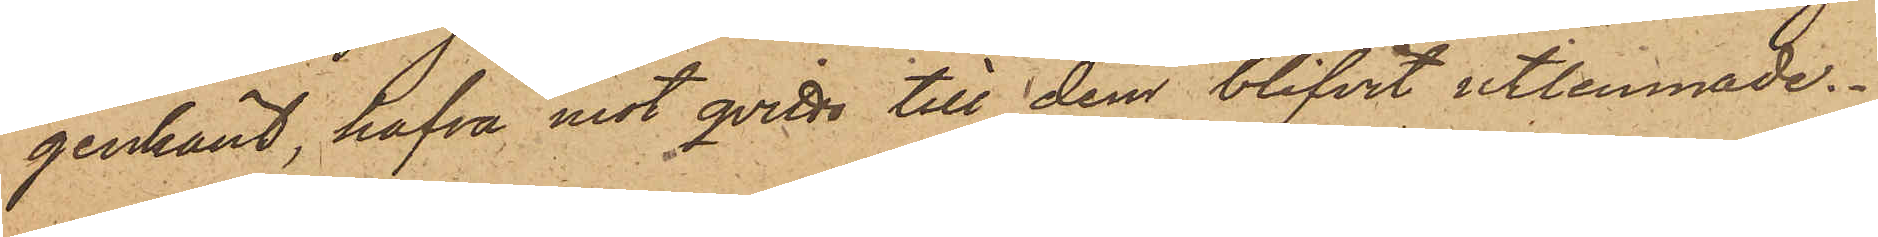genkänt, hafva mot qvitto till dem blifvit utlemnade.
